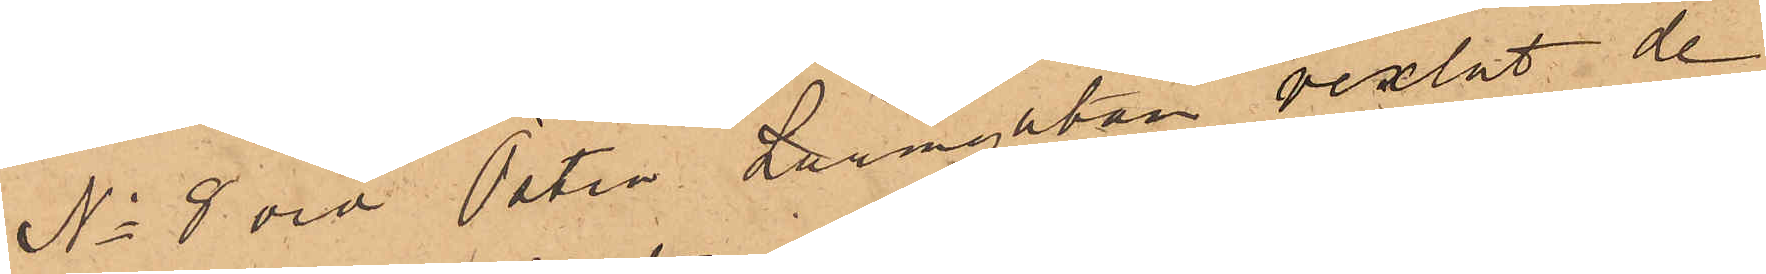No 8 vid Östra Larmgatan vexlat de
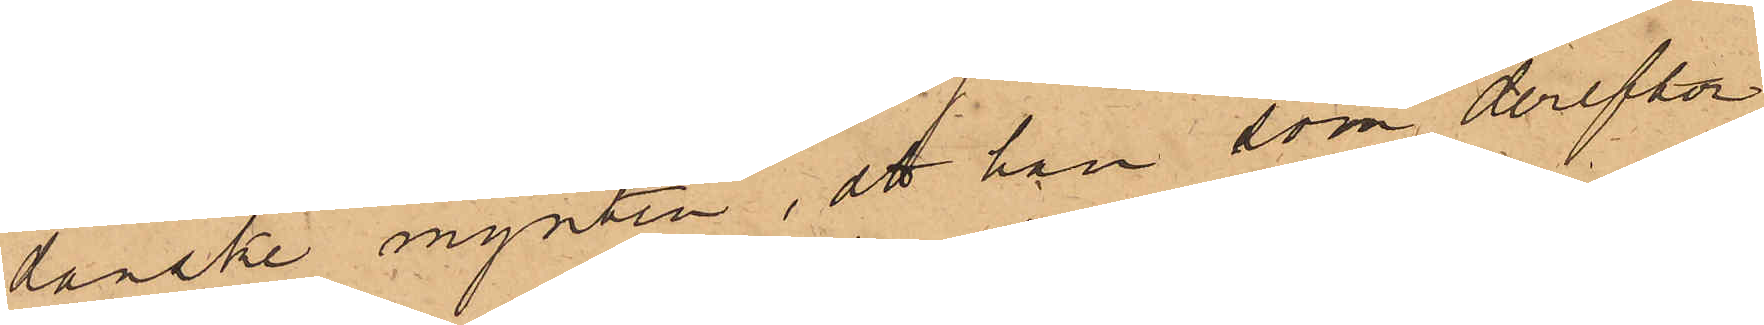danske mynten, att han som derefter
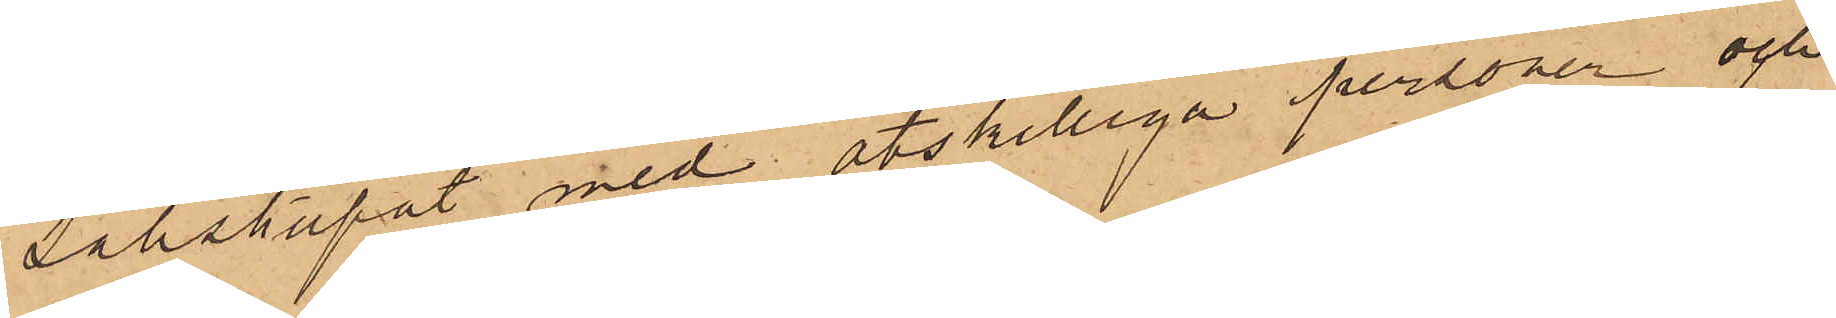sällskapat med åtskilliga personer och
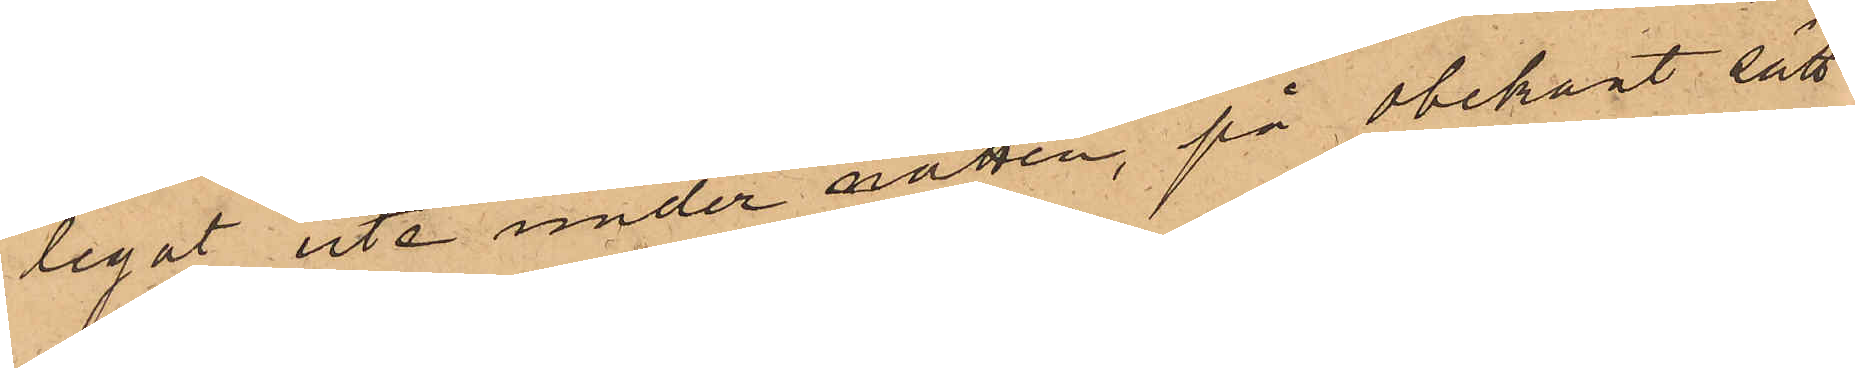legat ute under natten, på obekant sätt
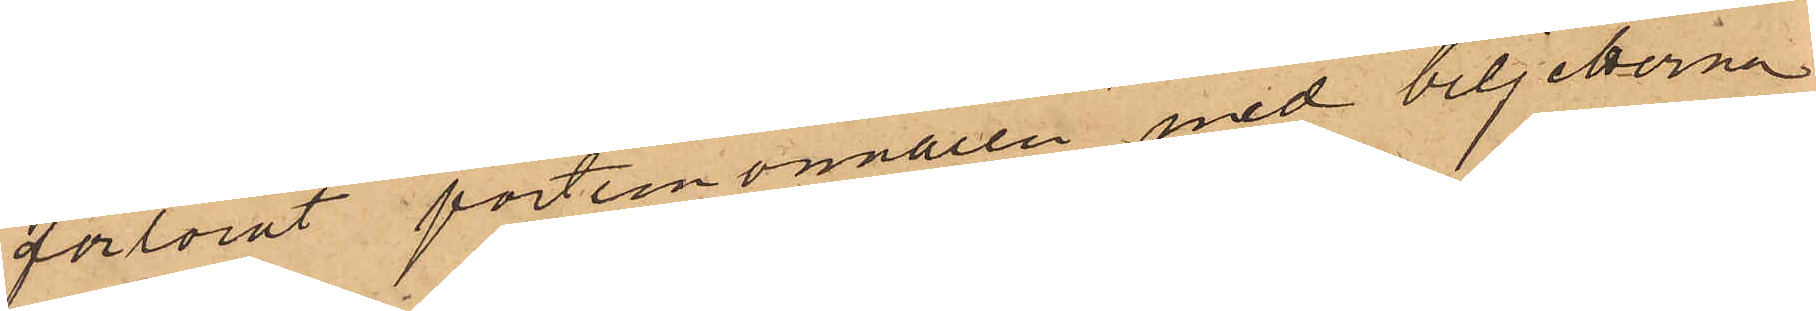förlorat portemonnaien med biljetterna,
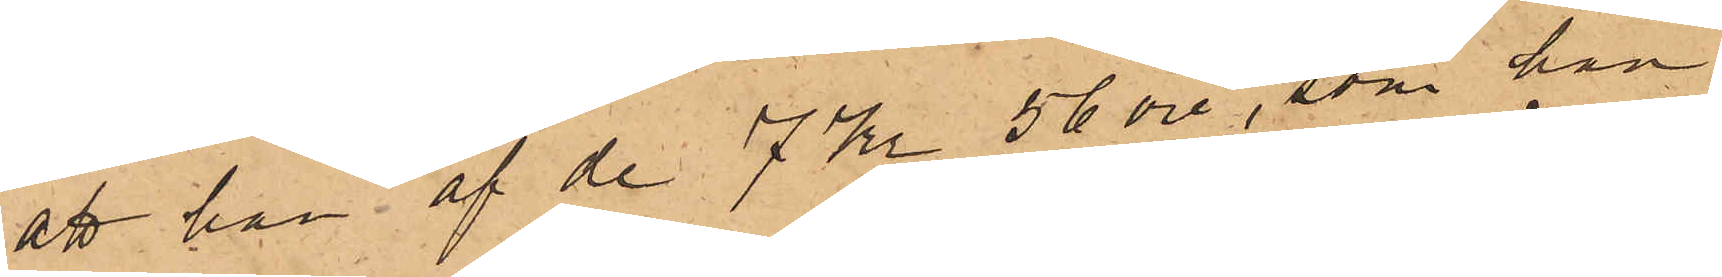att han af de 7 Kr 56 öre, som han
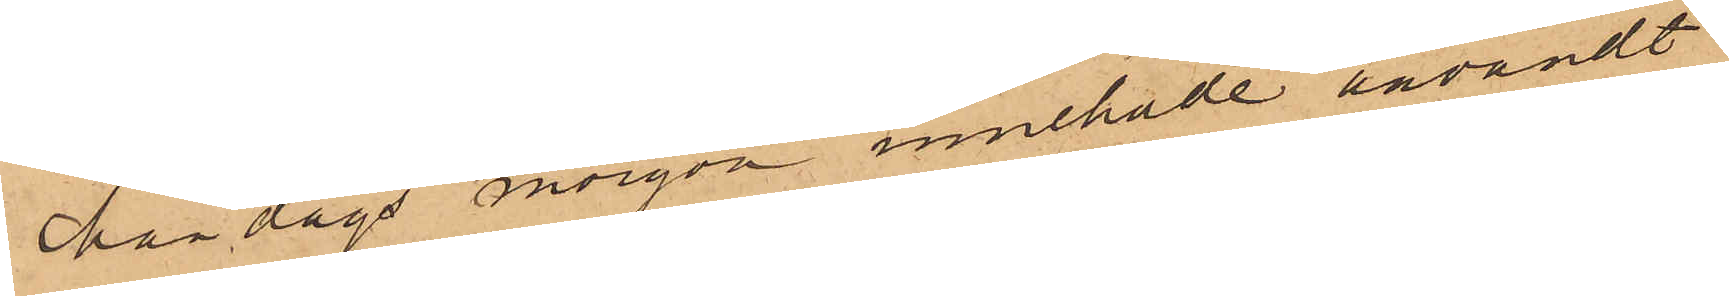Måndags morgon innehade användt
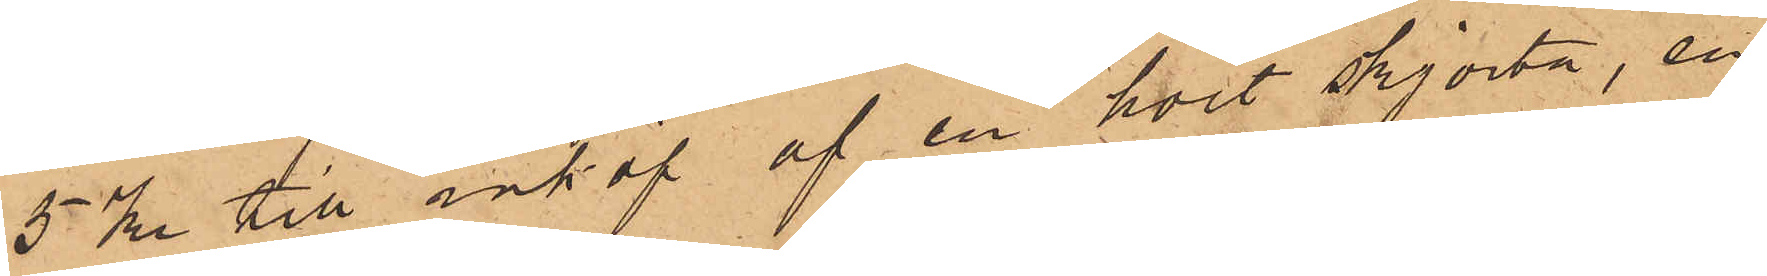5 Kr till inköp af en hvit skjorta, en
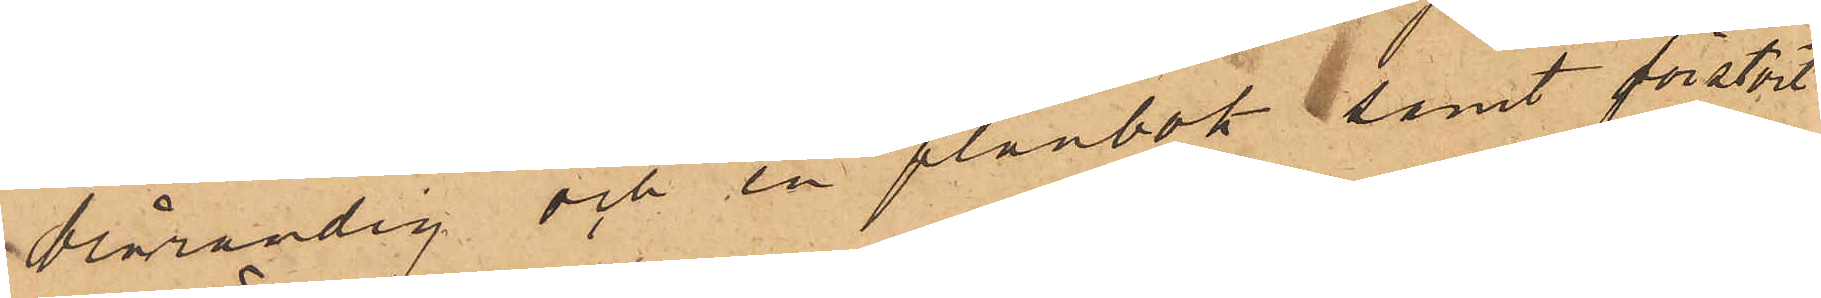brårandig och en plånbok, samt förstört
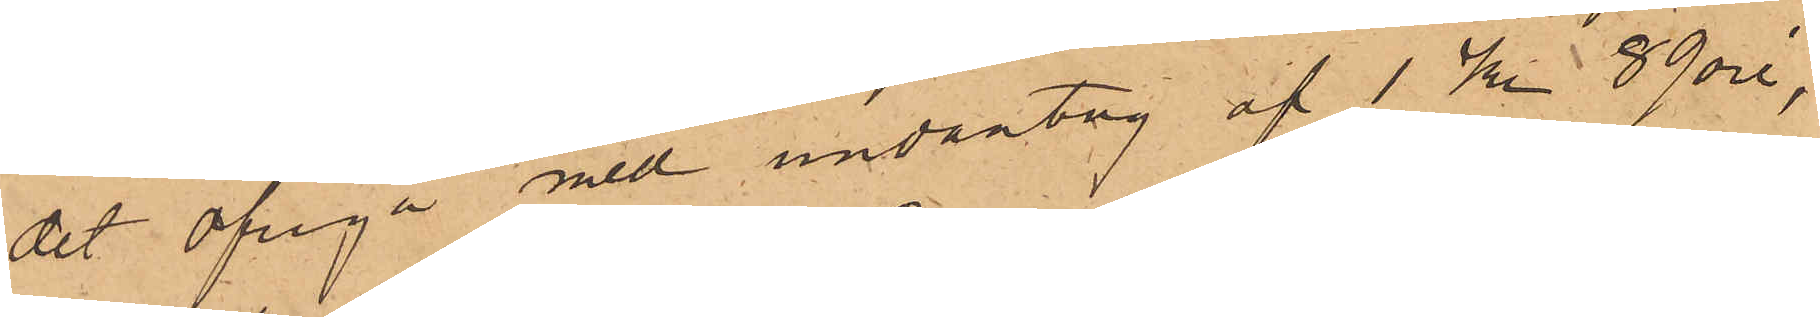det öfriga med undantag af 1 Kr 89 öre,
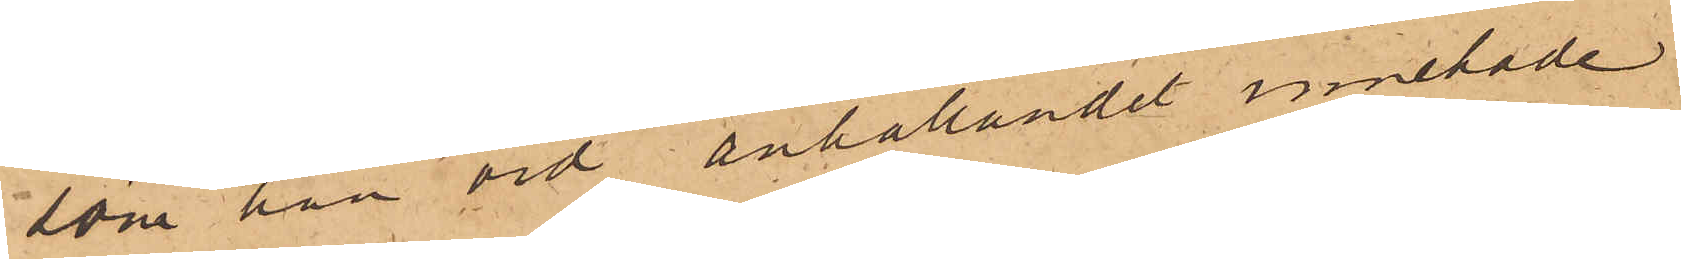som han vid anhållandet innehade.
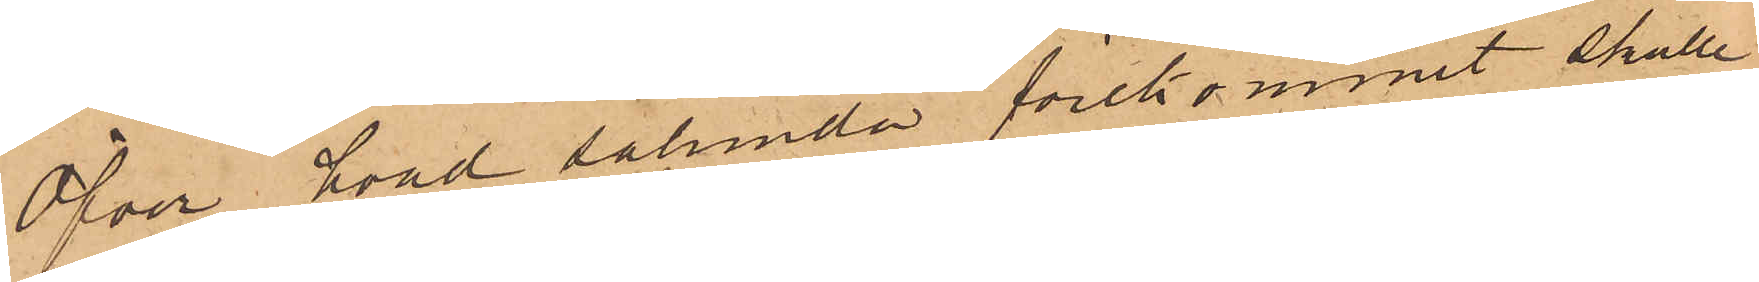Öfver hvad sålunda förekommit skulle
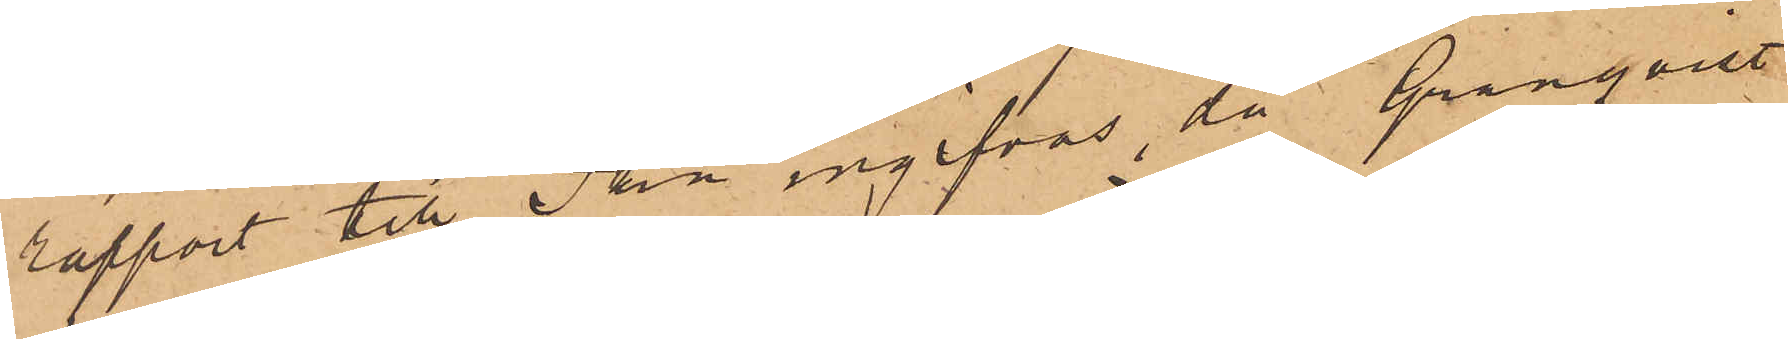rapport till Pkn ingifvas, då Granqvist
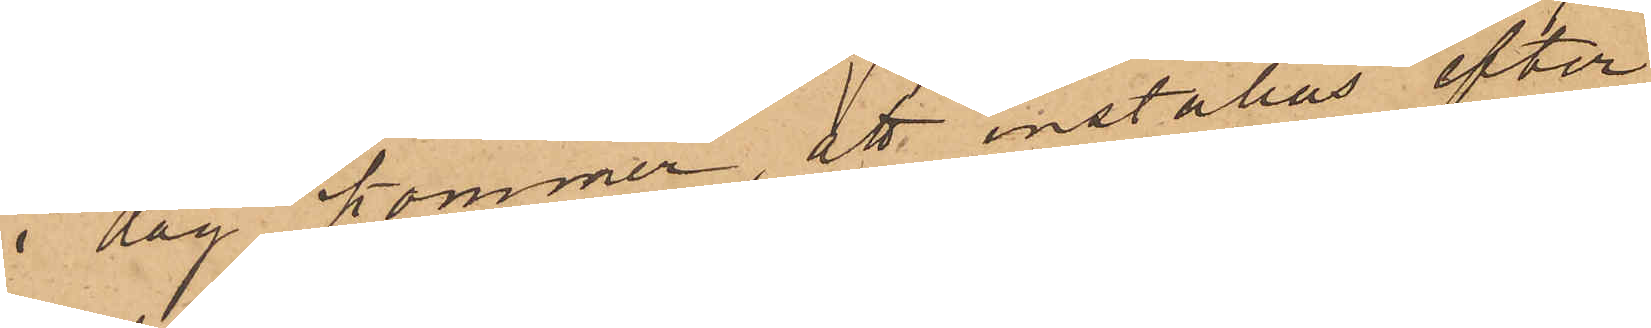i dag kommer, att inställas efter
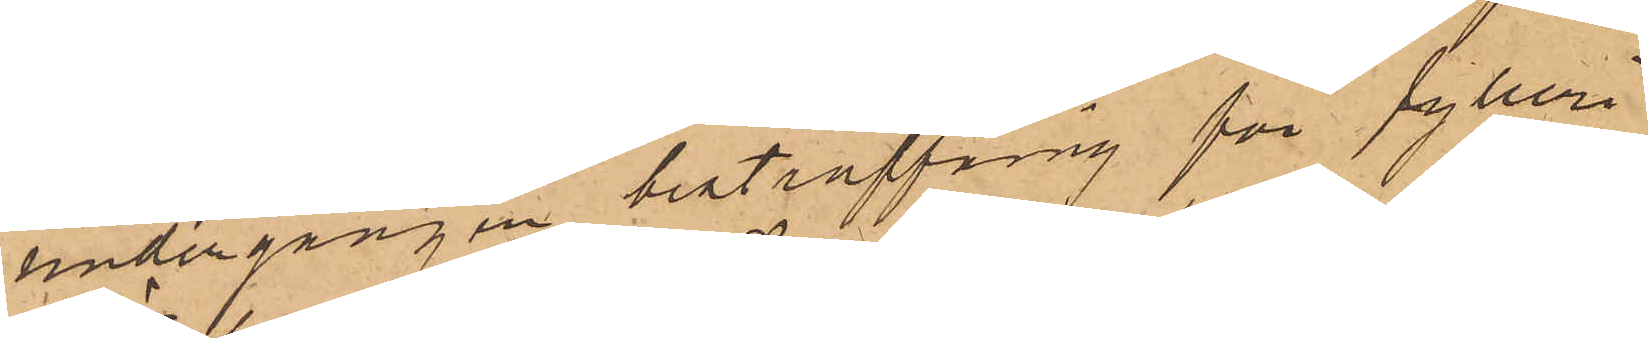undergången bestraffning för fylleri.
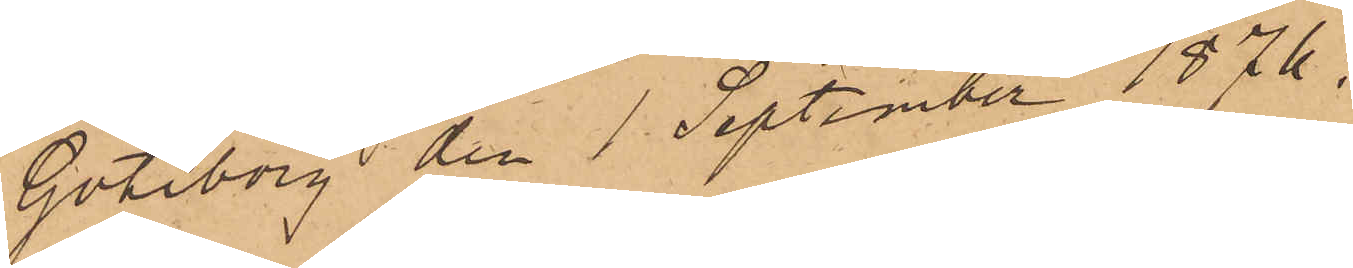Göteborg den 1 September 1876.
